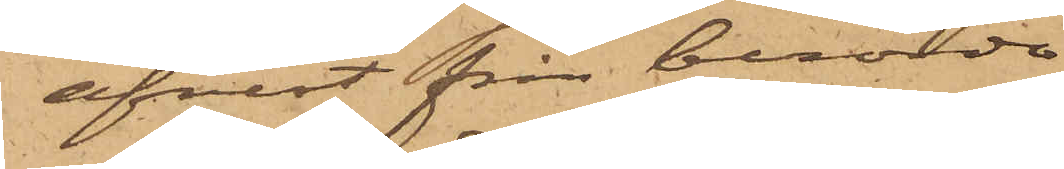afrest från berörde
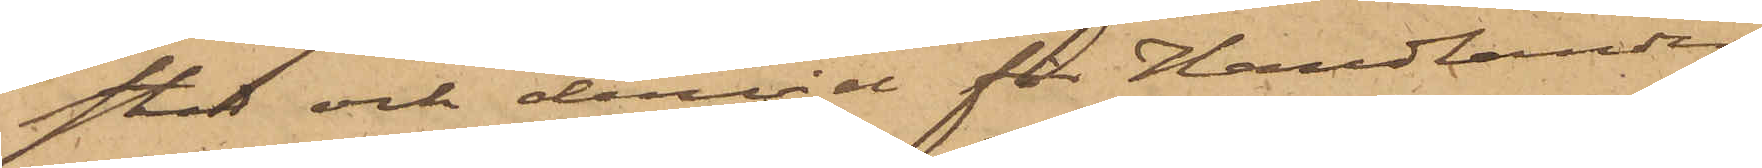stad och dervid för Handlanden
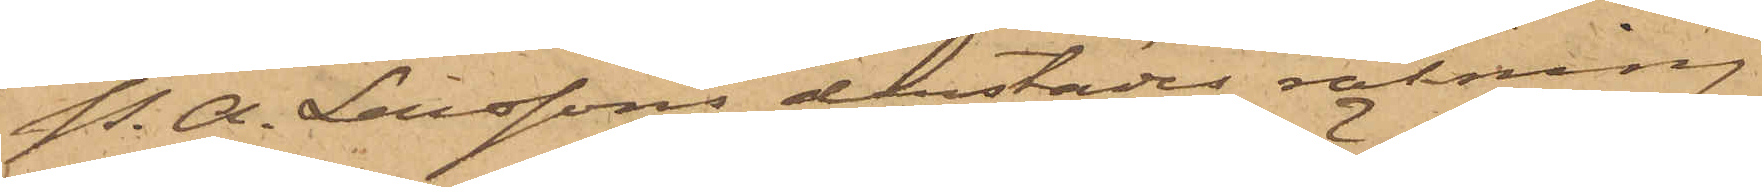P. A. Larssons derstädes räkning
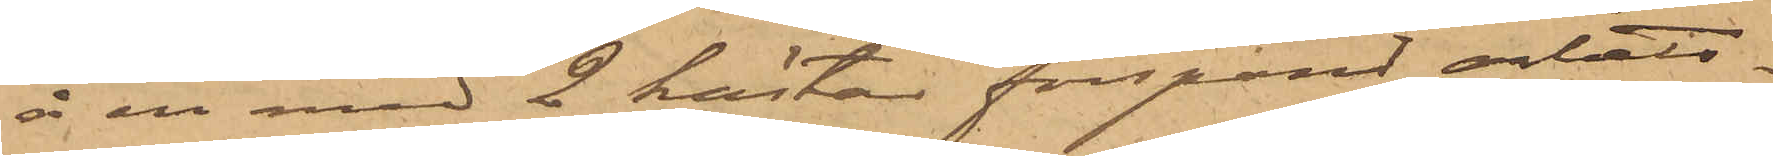å en med 2 hästar förspänt arbets¬
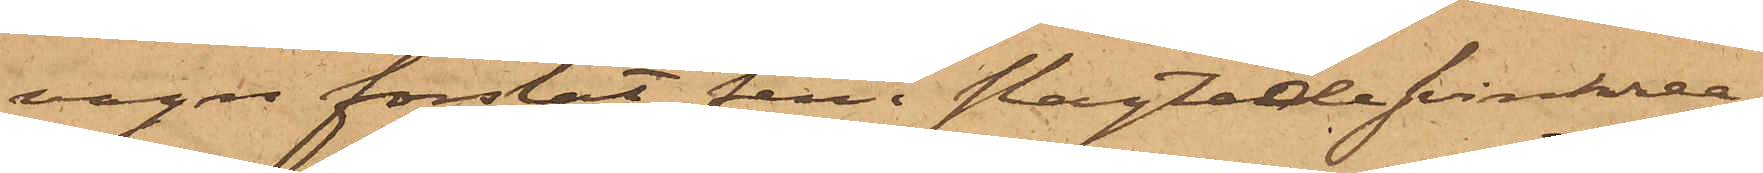vagn forslat fem slagtade svinkrea¬
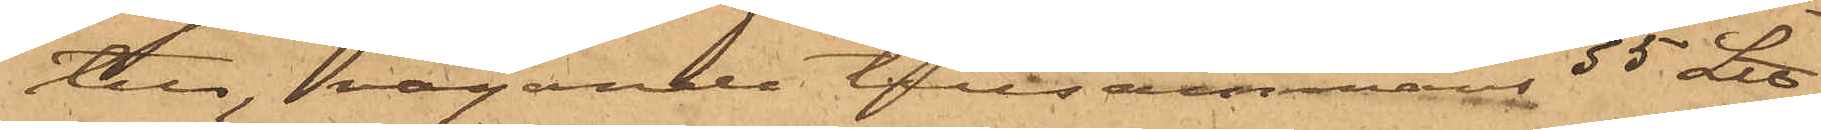tur, vägande tillsammans 55 L℔,
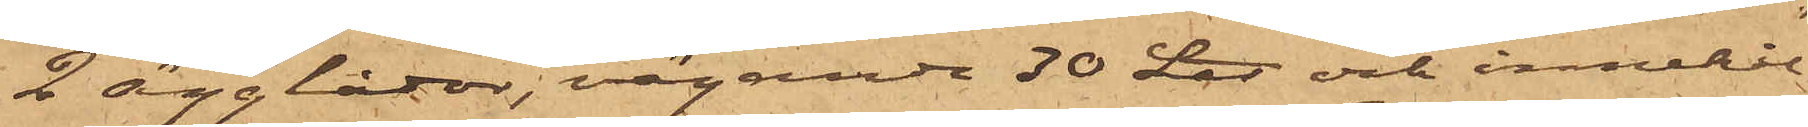2 ägglådor, vägande 30 L℔ och innehål¬
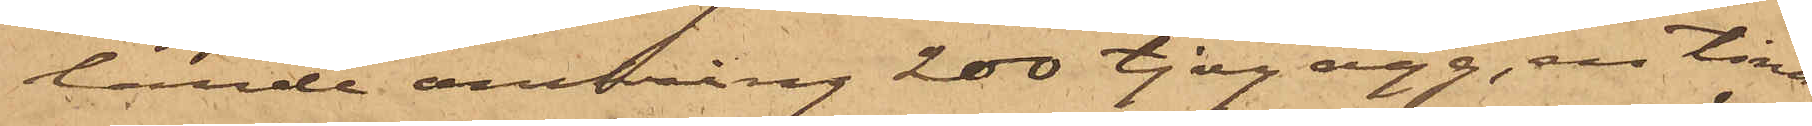lande omkring 200 tjog ägg, en tina,
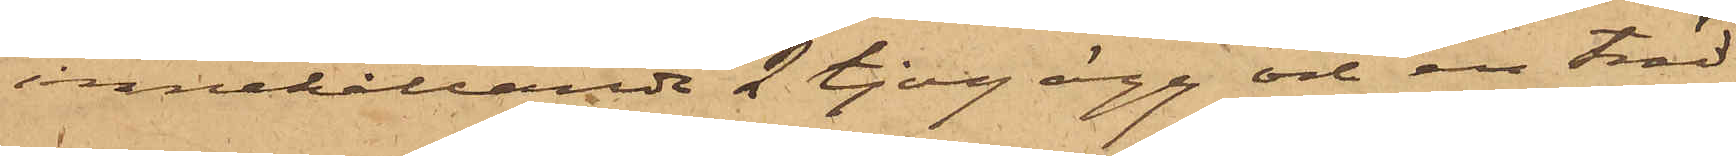innehållande 2 tjog ägg och en träd¬
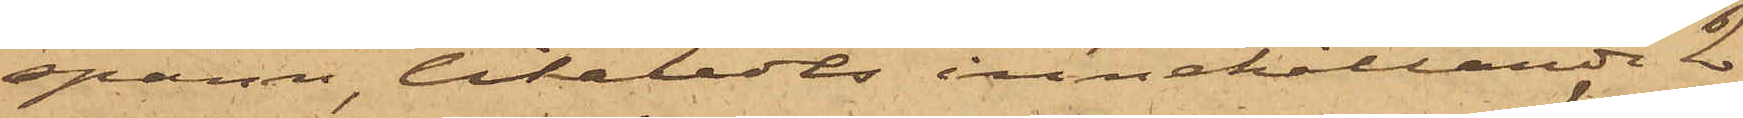spann, likaledes innehållande 2
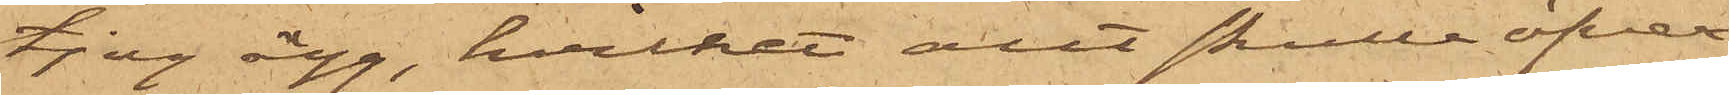tjog ägg, hvilket allt skulle öfver¬
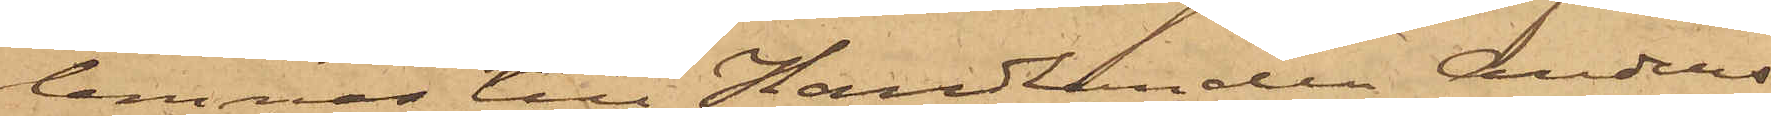lemnas till Handlanden Anders
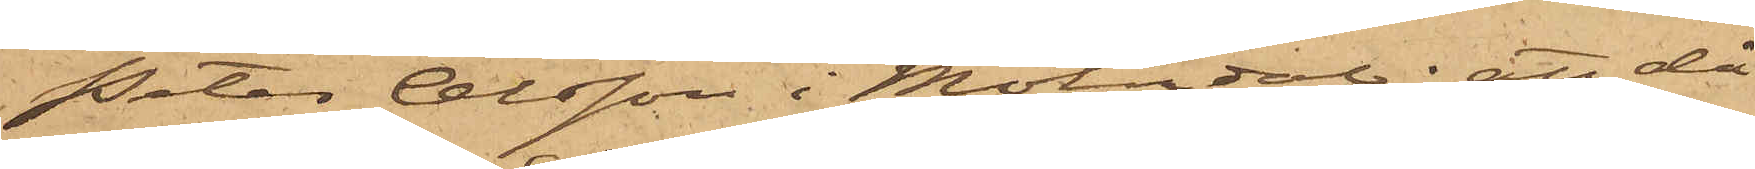Peter Olsson i Mölndal; att då
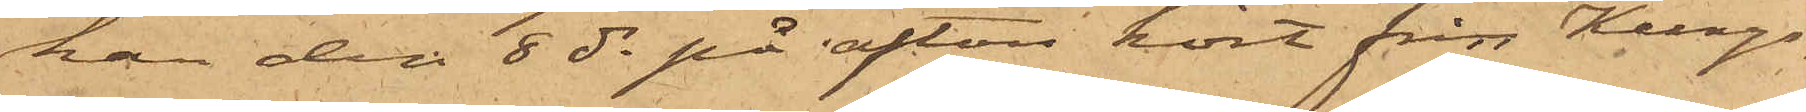han den 8 ds på afton kört från Kungs¬
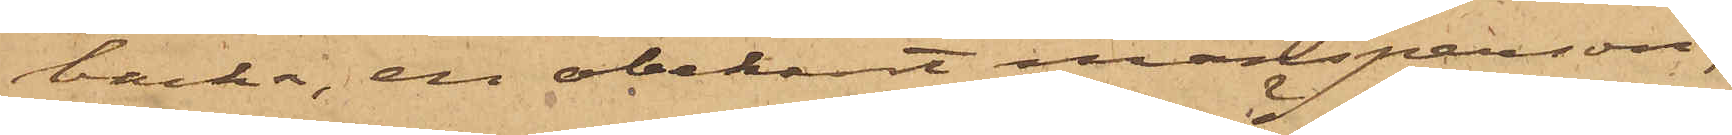backa, en obekant mansperson,
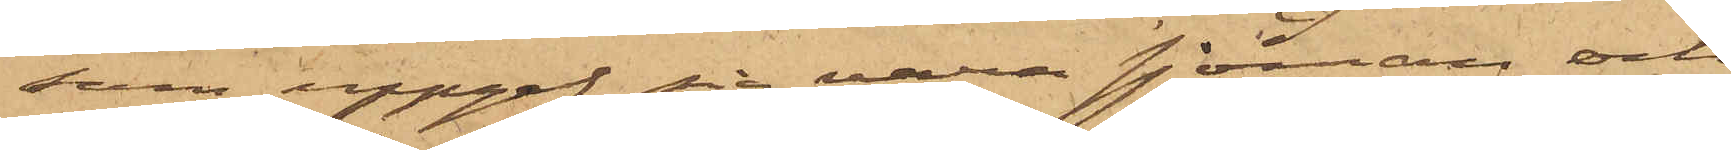som uppgaf sig vara sjöman och
